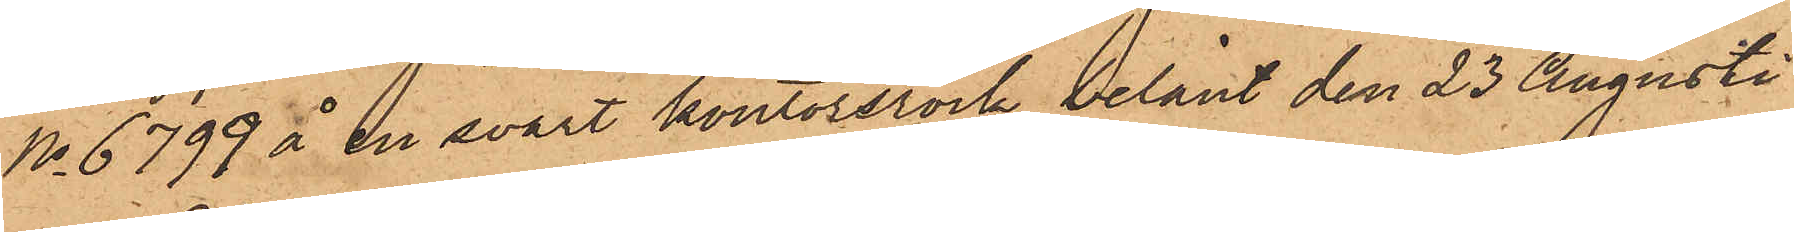No 6799 å en svart kontorsrock, belånt den 23 Augusti
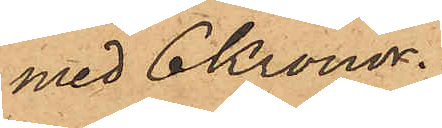med 6 Kronor.
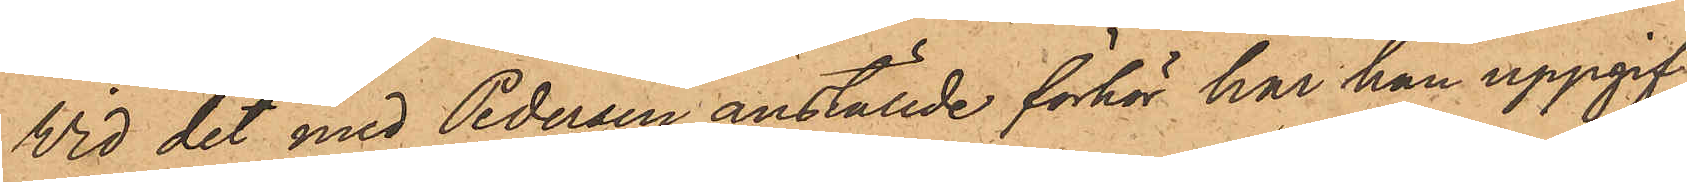Vid det med Pedersen anställde förhör har han uppgif¬
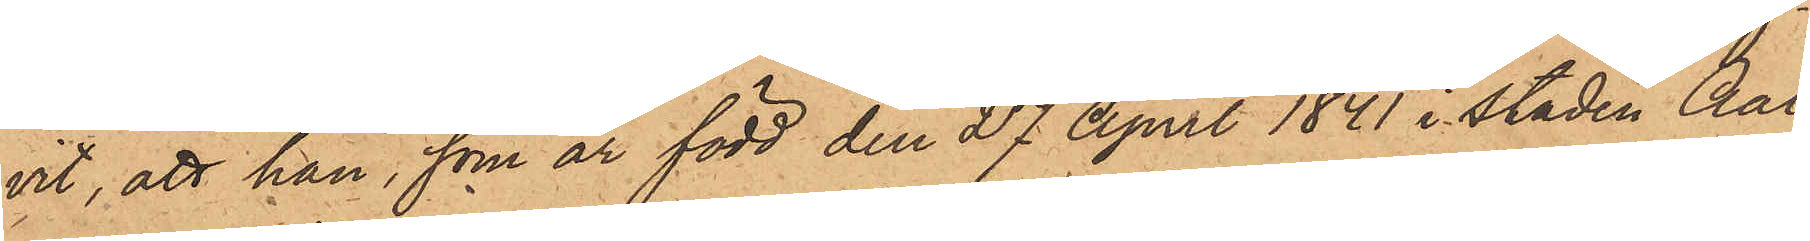vit, att han, som är född den 27 April 1841 i staden Aal¬
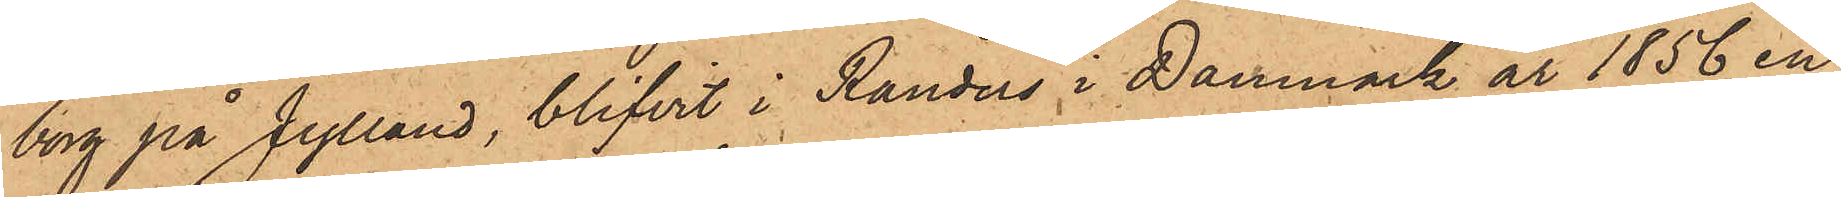borg på Jylland, blifvit i Randers i Danmark år 1856 en
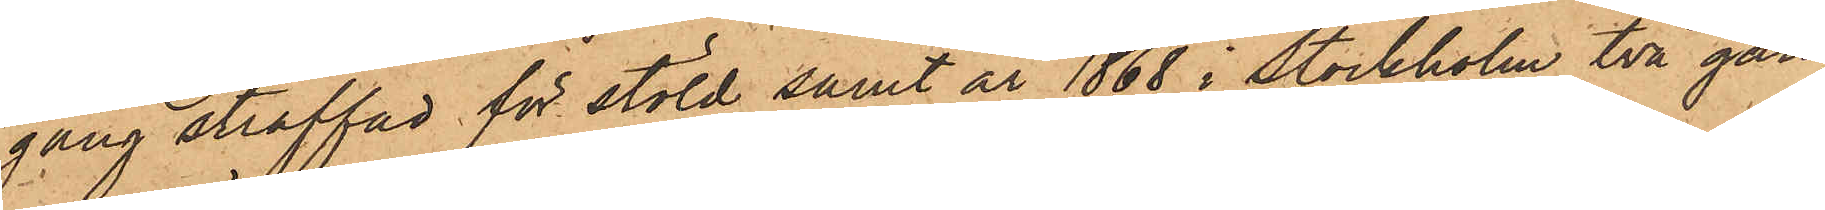gång straffad för stöld samt år 1868 i Stockholm två gån¬
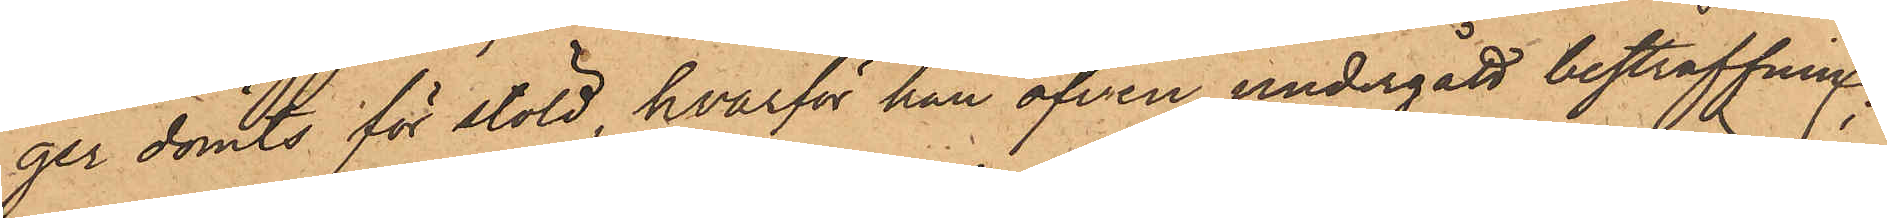ger dömts för stöld, hvarför han äfven undergått bestraffning;
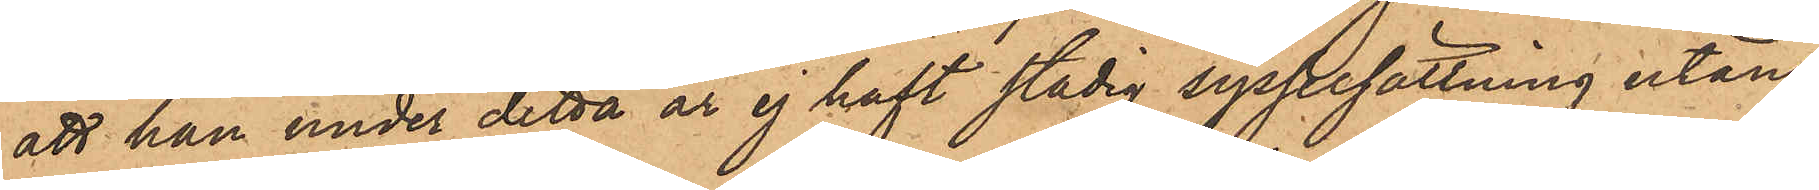att han under detta år ej haft stadig sysselsättning utan
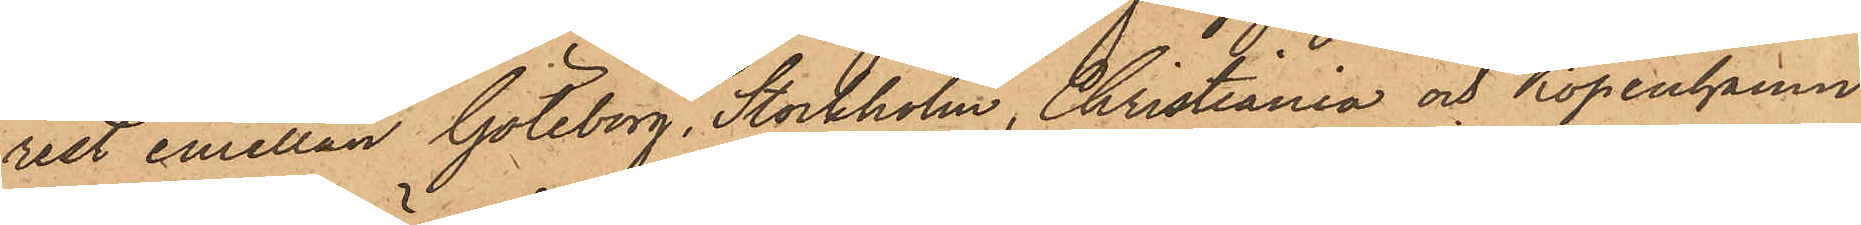rest emellan Göteborg, Stockholm, Christiania och Köpenhamn
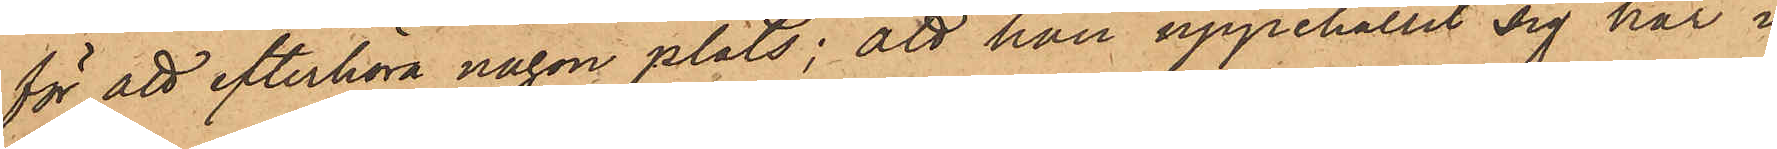för att efterhöra någon plats; att han uppehållit sig här i
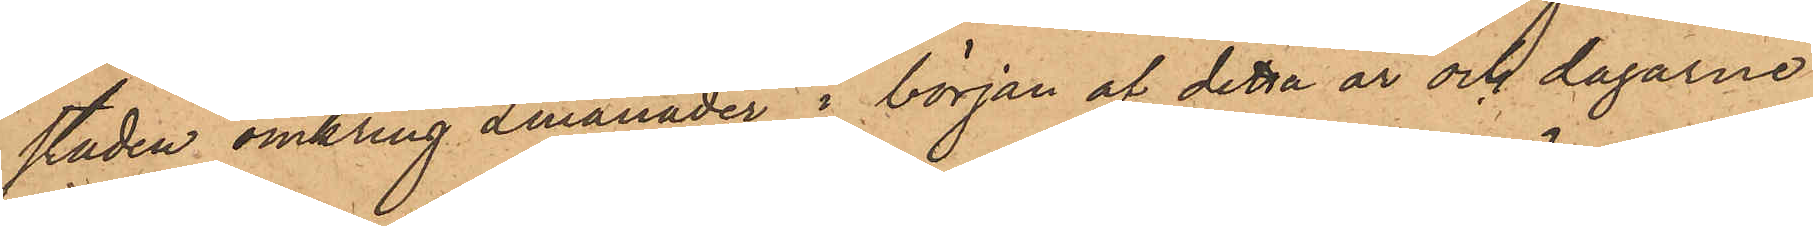staden omkring 2 månader i början af detta år och dagarne
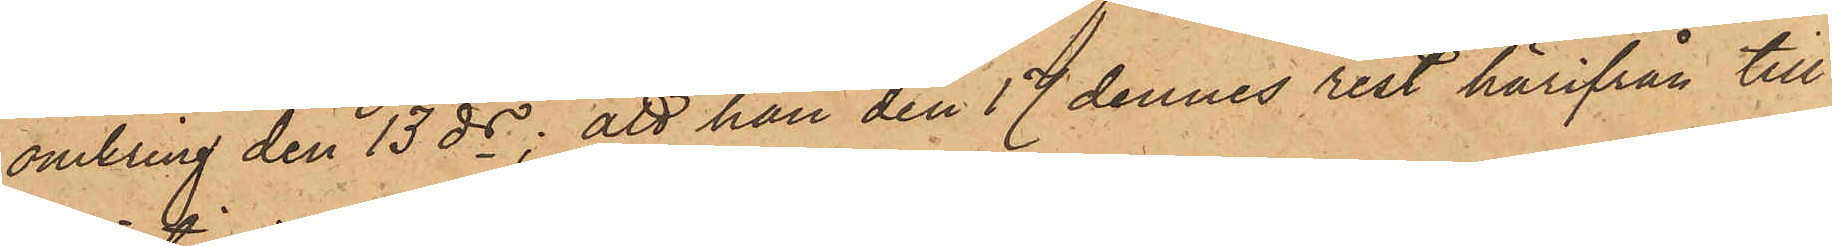omkring den 13 ds; att han den 17 dennes rest härifrån till
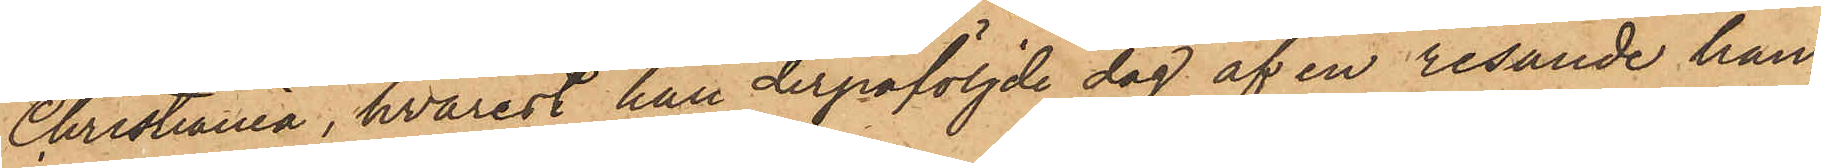Christiania, hvarest han derpåföljde dag af en resande han¬
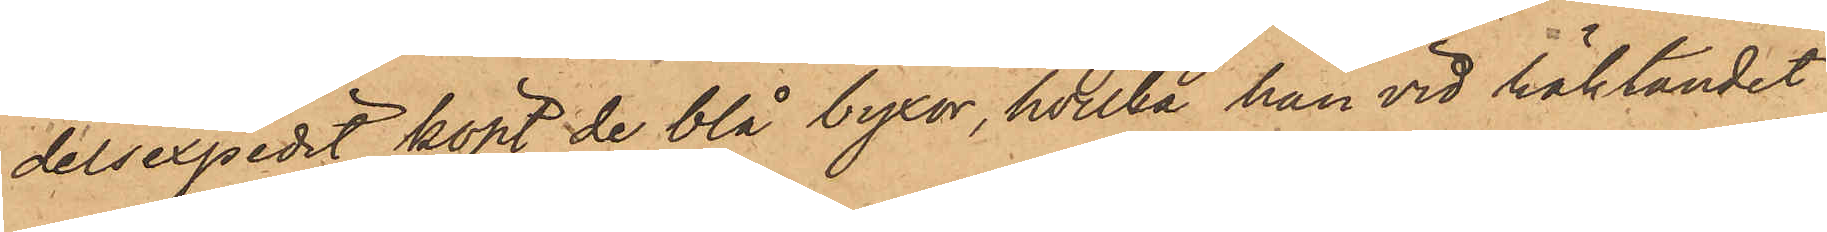delsexpedit köpt de blå byxor, hvilka han vid häktandet
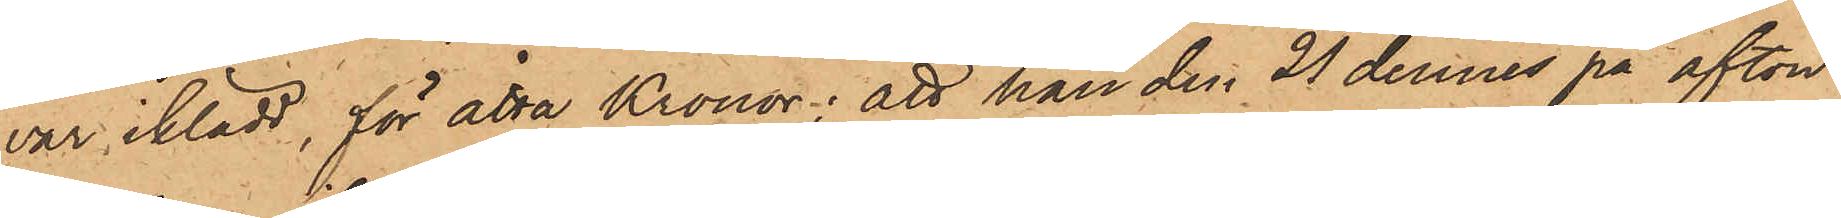var iklädd, för åtta Kronor; att han den 21 dennes på afton
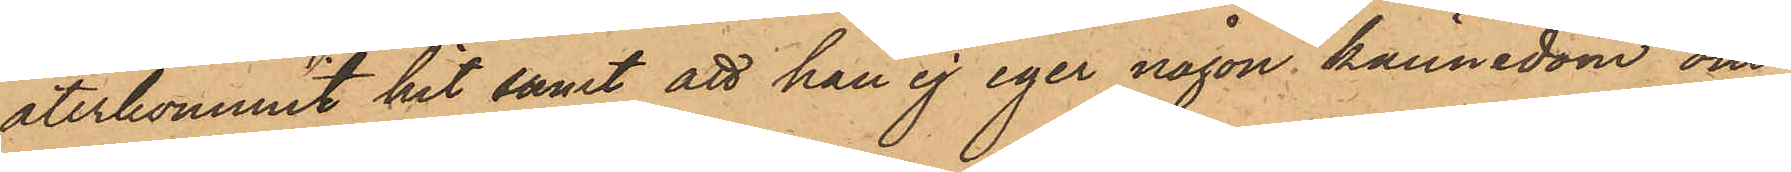återkommit hit samt att han ej eger någon kännedom om
